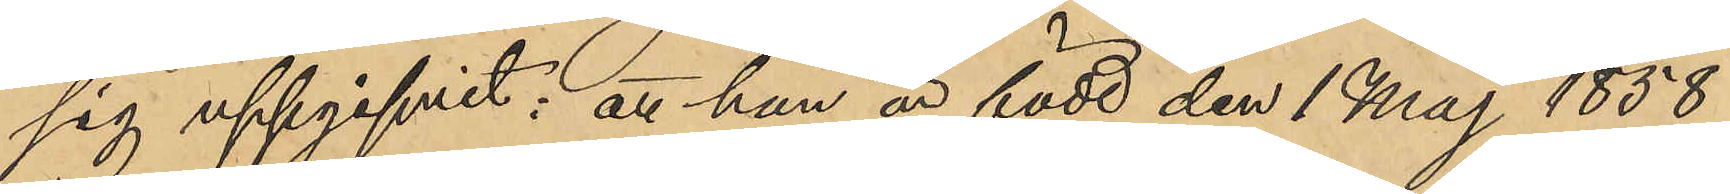sig uppgifvit: att han är född den 1 Maj 1858.
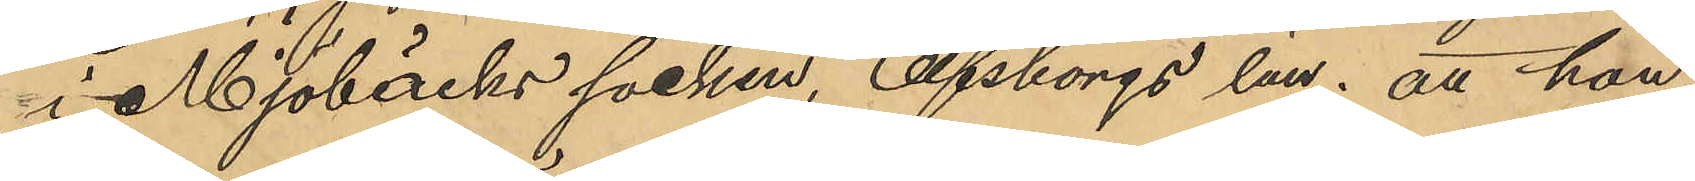i Mjöbäcks socken, Elfsborgs län; att hon
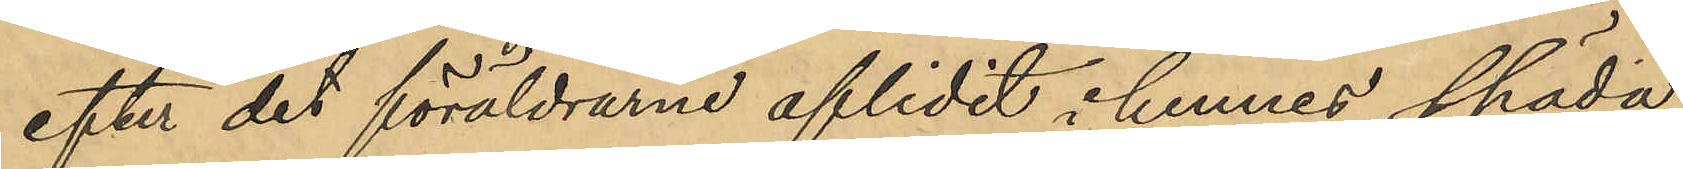efter det föräldrarne aflidit i hennes späda
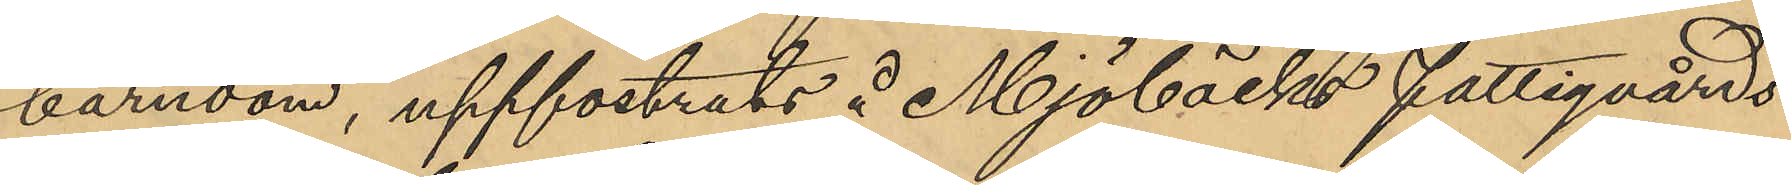barndom, uppfostrats å Mjöbäcks Fattigvårds
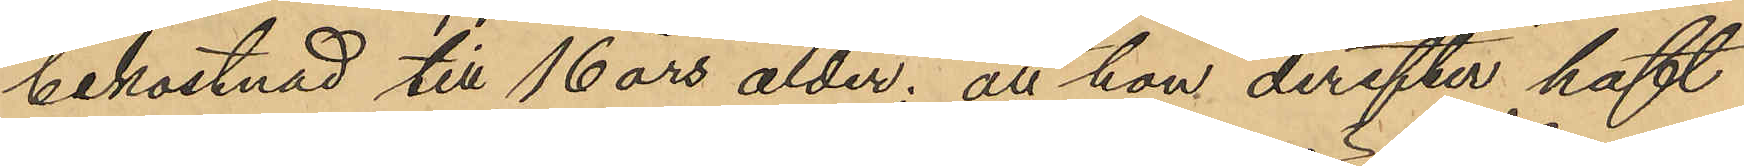bekostnad till 16 års ålder; att hon derefter haft
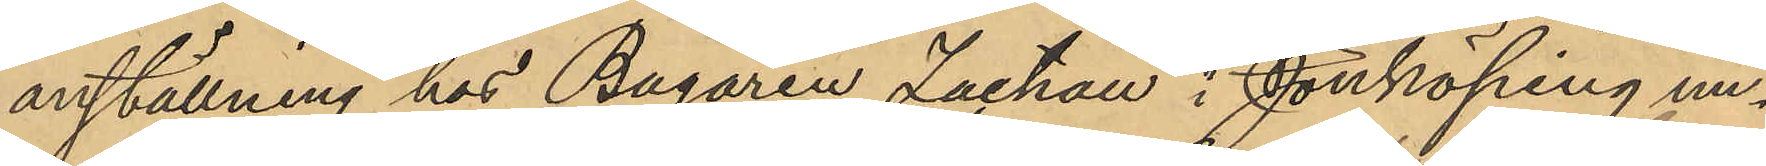anställning hos Bagaren Zachau i Jönköping un¬
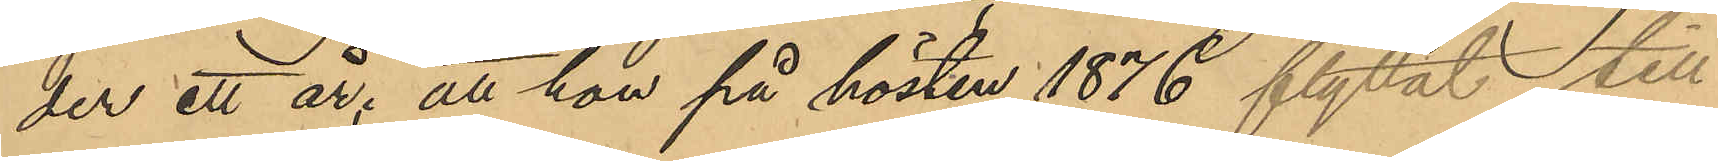der ett år; att hon på hösten 1876 flyttat till
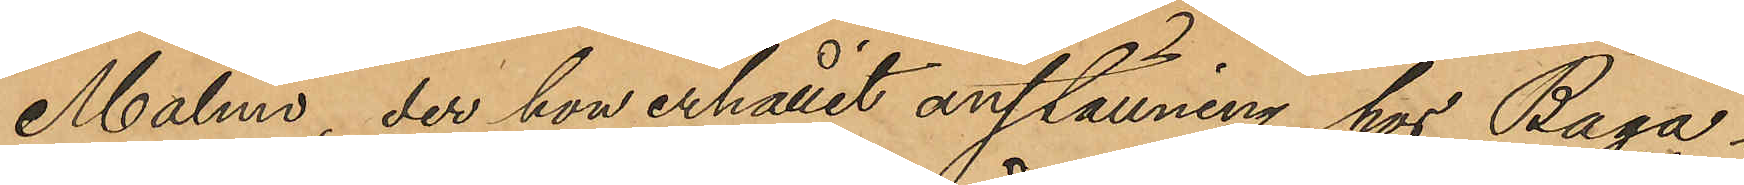Malmö, der hon erhållit anställning hos Baga¬
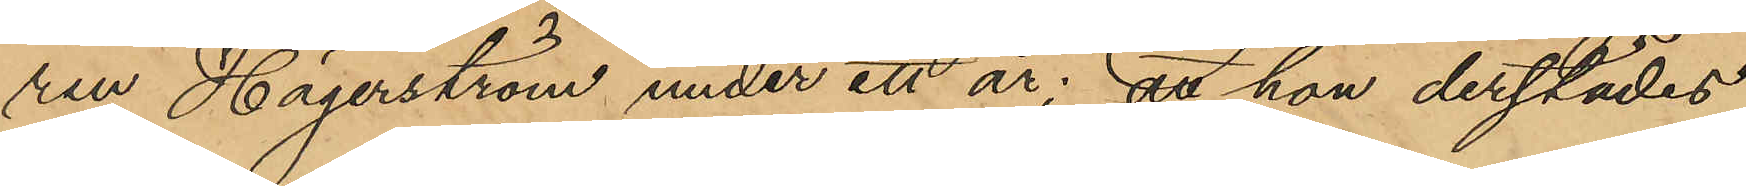ren Hägerström under ett år; att hon derstädes
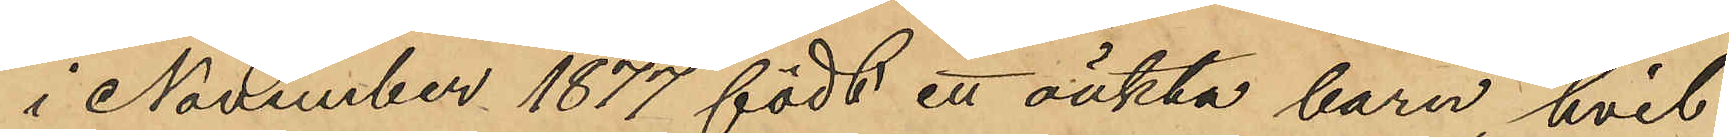i November 1877 födt ett oäkta barn hvil¬
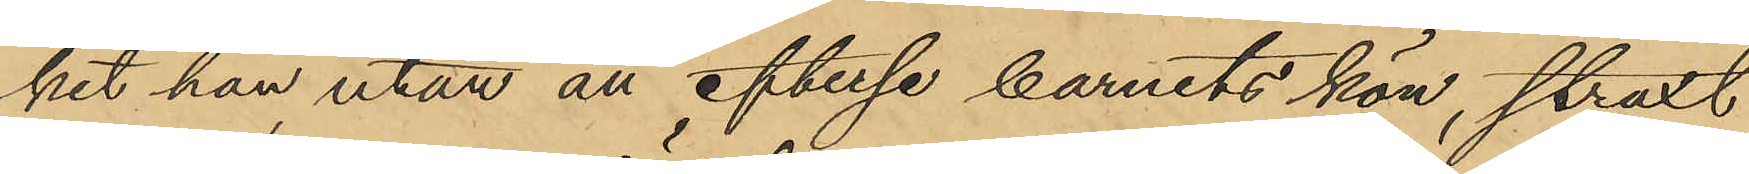ket hon utan att efterse barnets kön, straxt
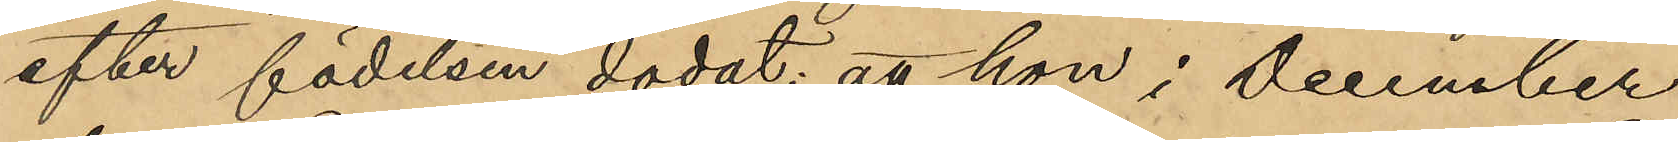efter födelsen dödat; att hon i December
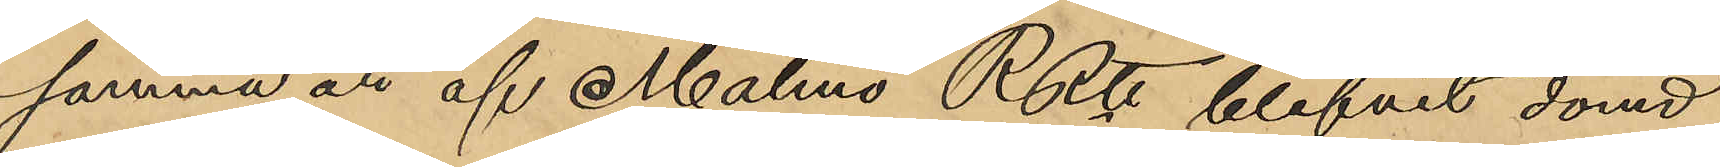samma år af Malmö RRtt blifvit dömd
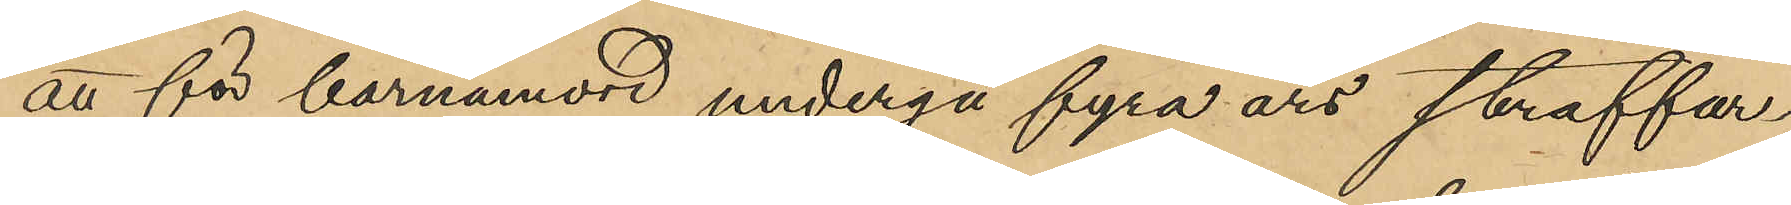att för barnamord undergå fyra års straffar¬
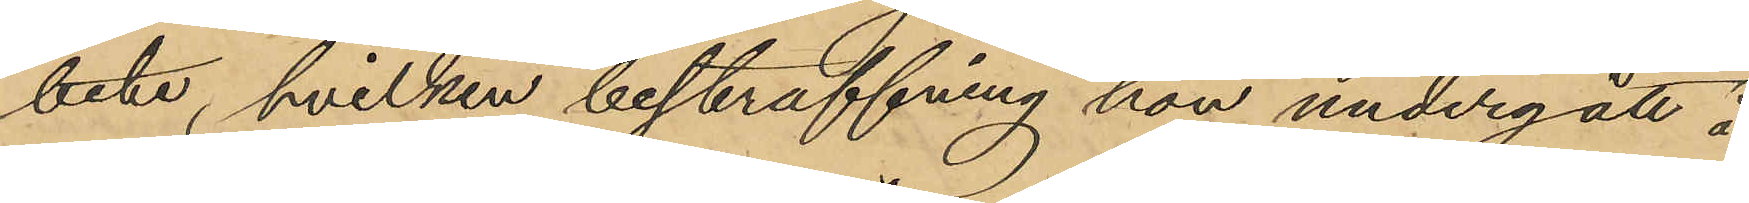bete, hvilken bestraffning hon undergått å
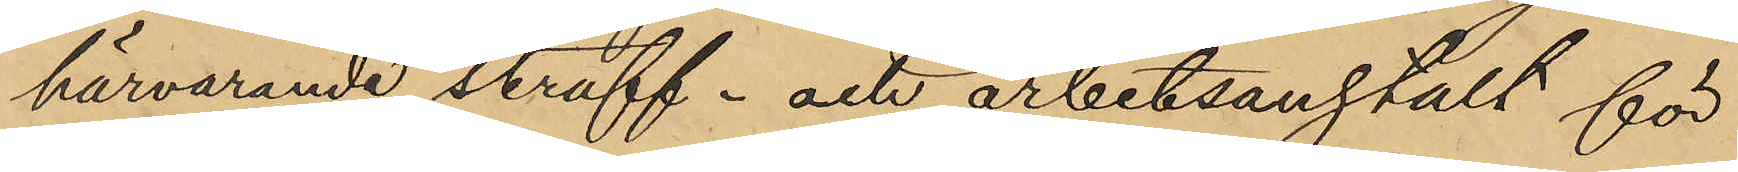härvarande straff- och arbetsanstalt för
